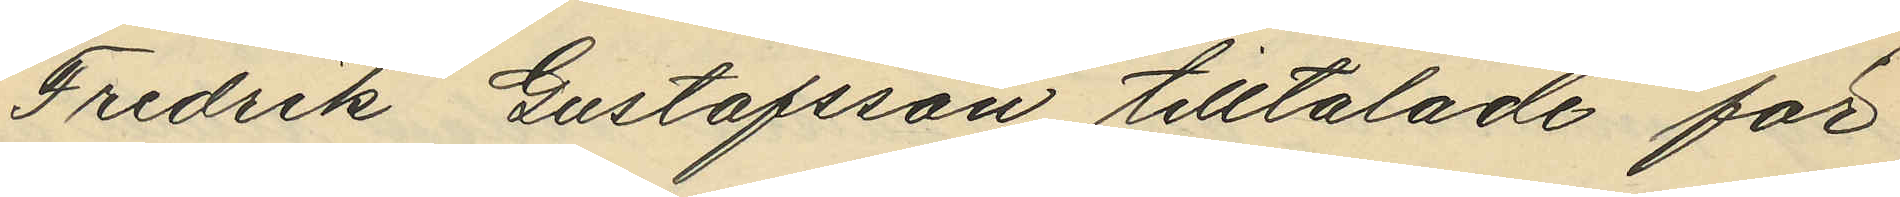Fredrik Gustafsson tilltalade för
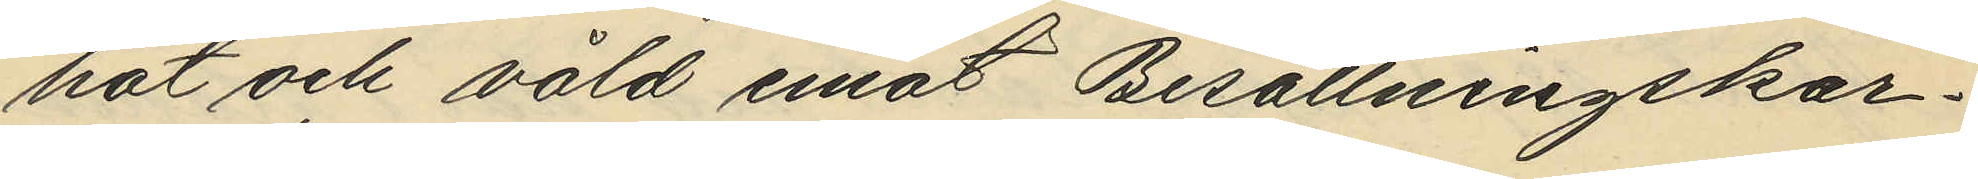hot och våld emot Besättningskar¬
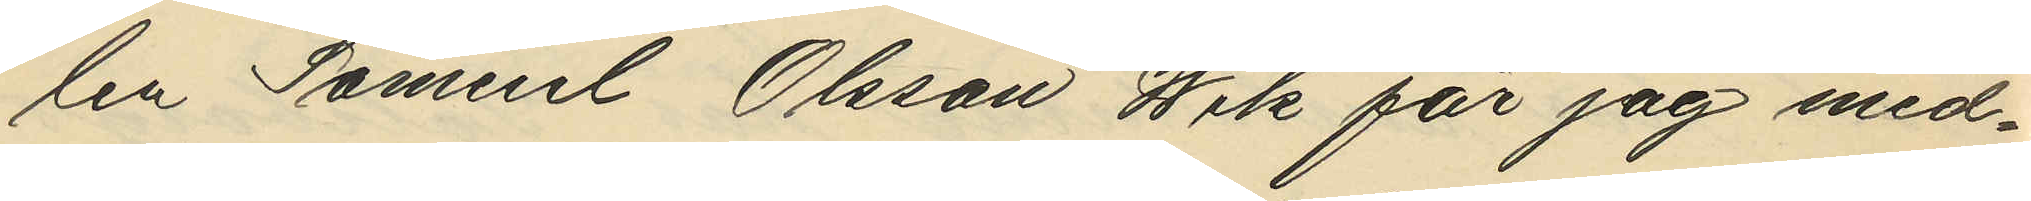len Samuel Olsson Wik får jag med¬
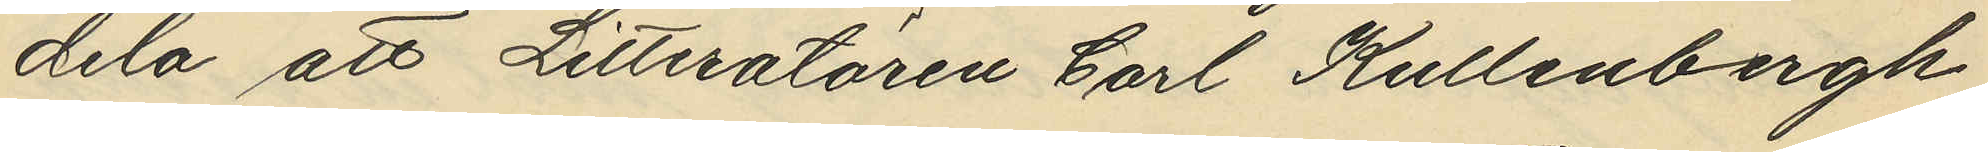dela att Litteratören Carl Kullenbergh
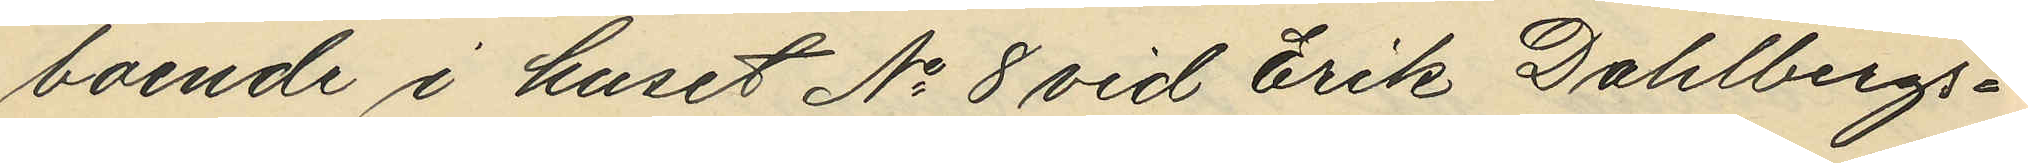boende i huset No 8 vid Erik Dahlbergs¬
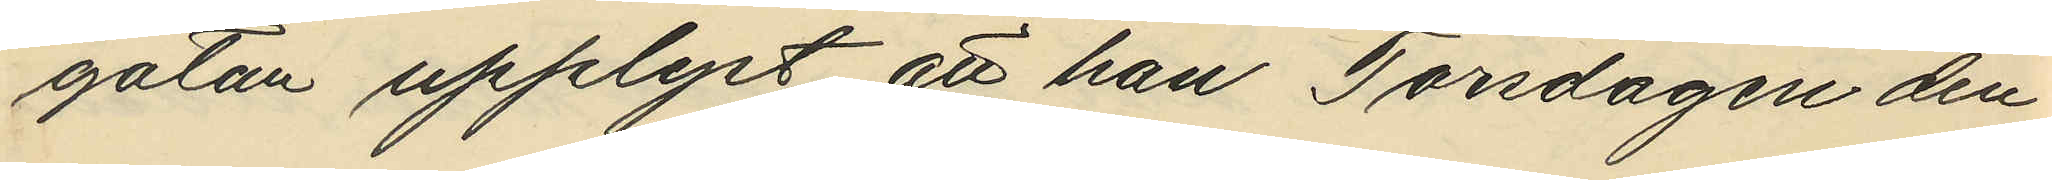gatan upplyst att han Torsdagen den
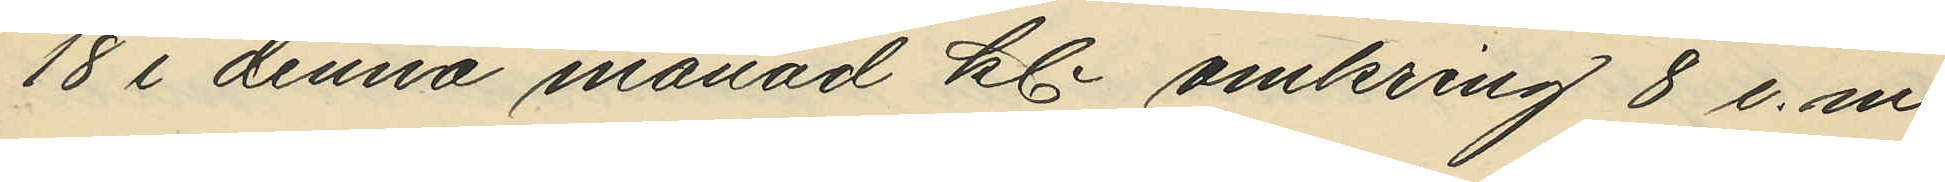18 i denna månad kl omkring 8 e.m.
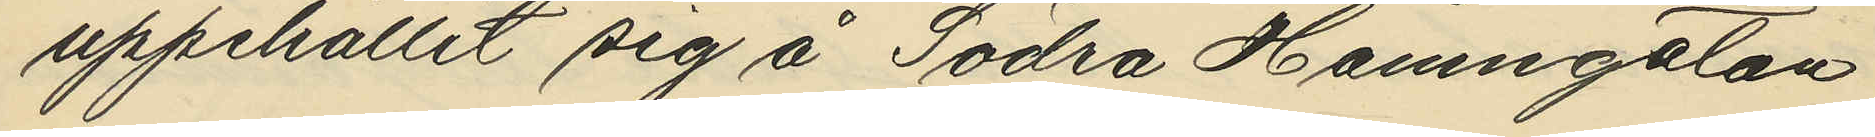uppehållit sig å Södra Hamngatan
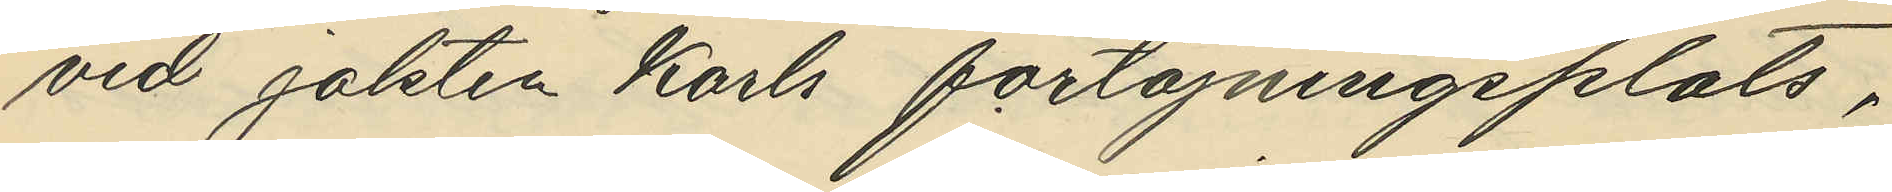vid jakten Karls förtöjningsplats,
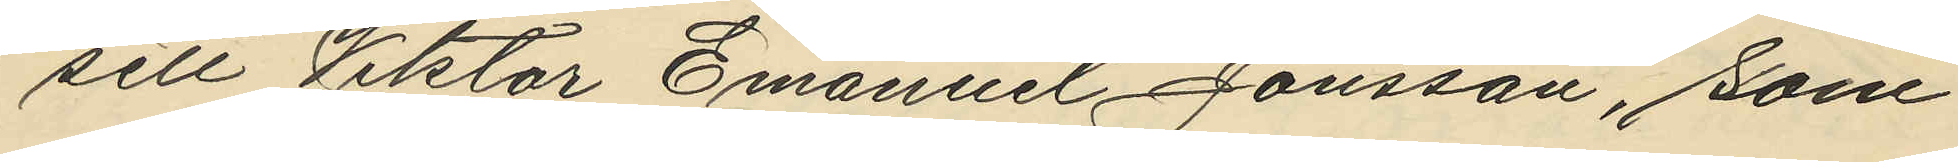sett Viktor Emanuel Jonsson, som
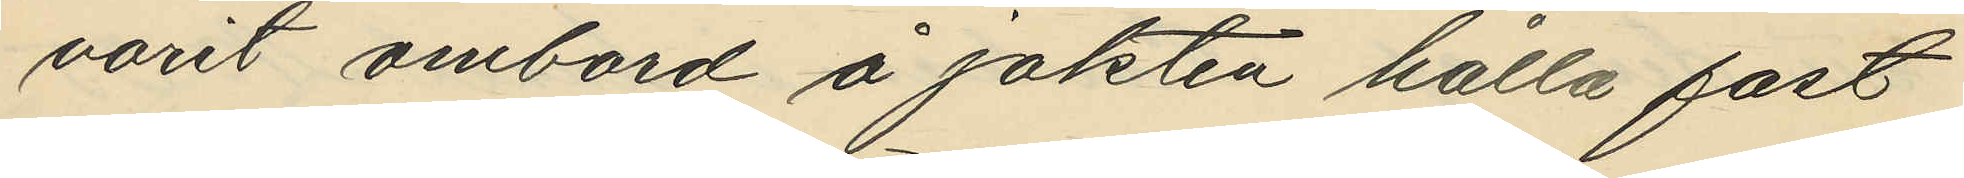varit ombord å jakten hålla fast
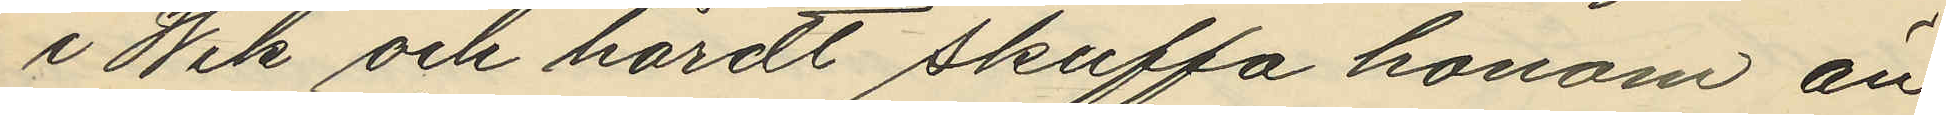i Wik och hårdt skuffa honom än
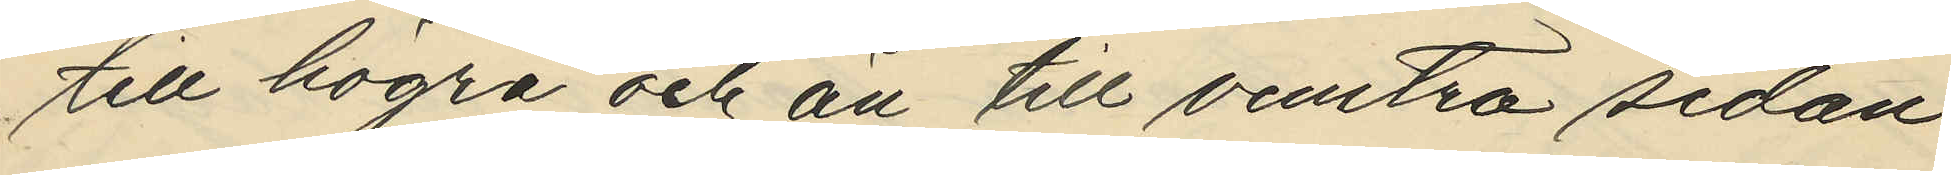till högra och än till venstra sidan
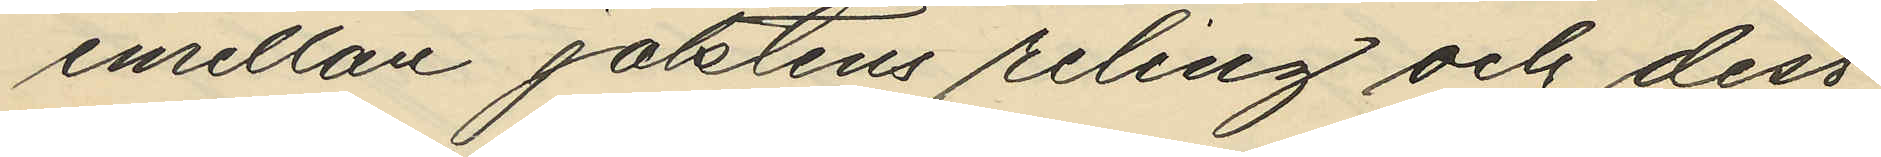emellan jaktens reling och dess
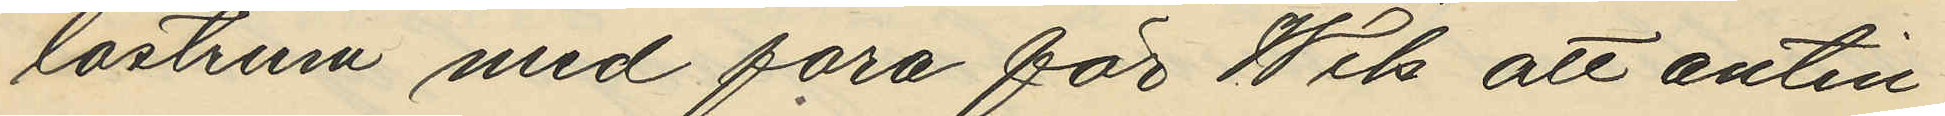lastrum med fara för Wik att antin¬
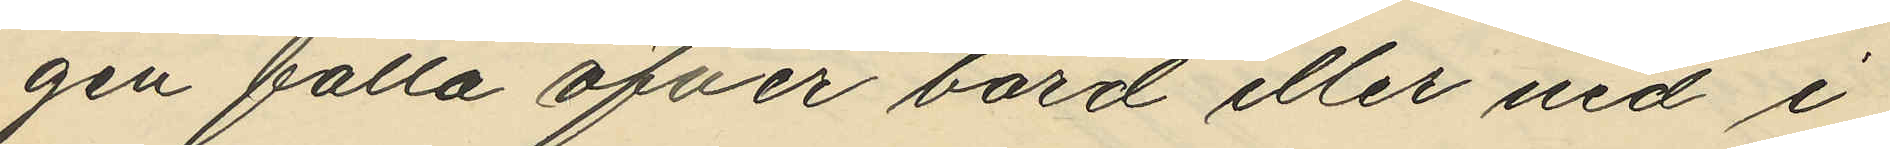gen falla öfver bord eller ner i
